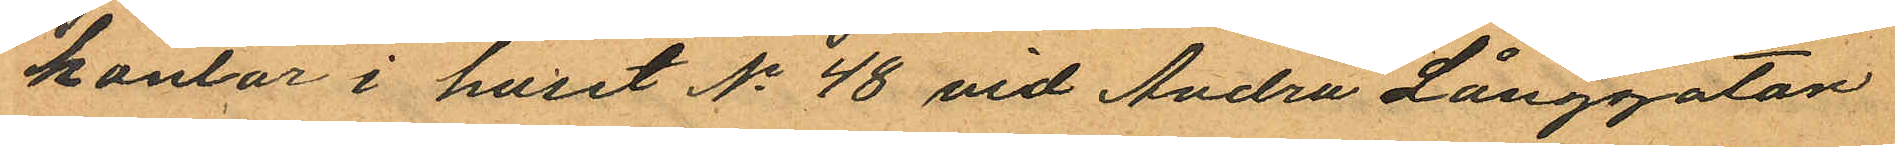kontor i huset No 48 vid Andra Långgatan
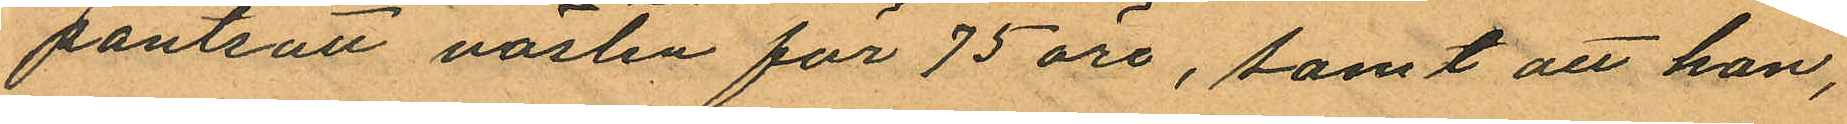pantsatt västen för 75 öre, samt att han,
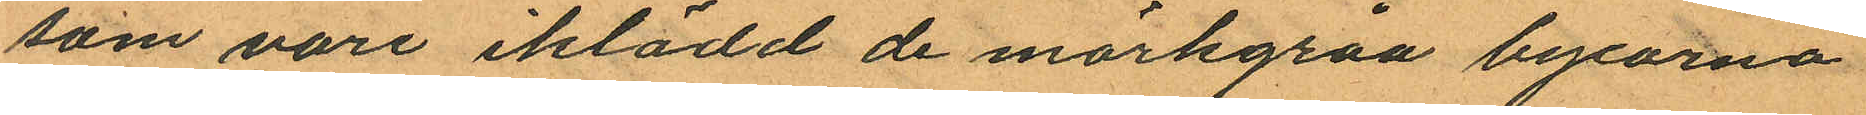som vore iklädd de mörkgråa byxorna
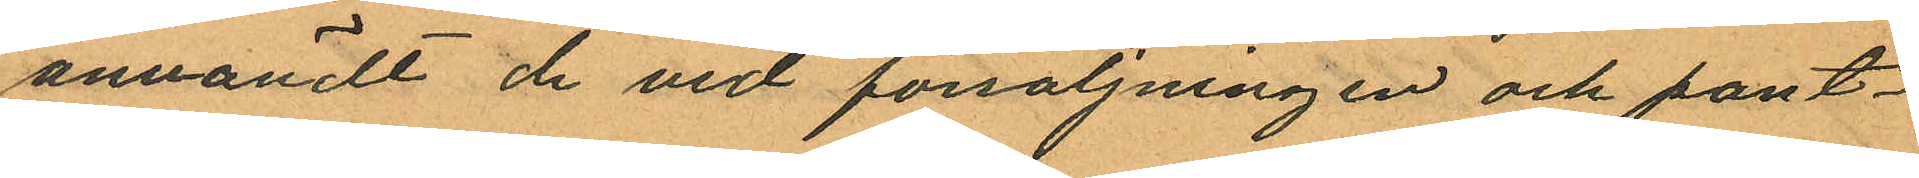användt de vid försäljningen och pant¬
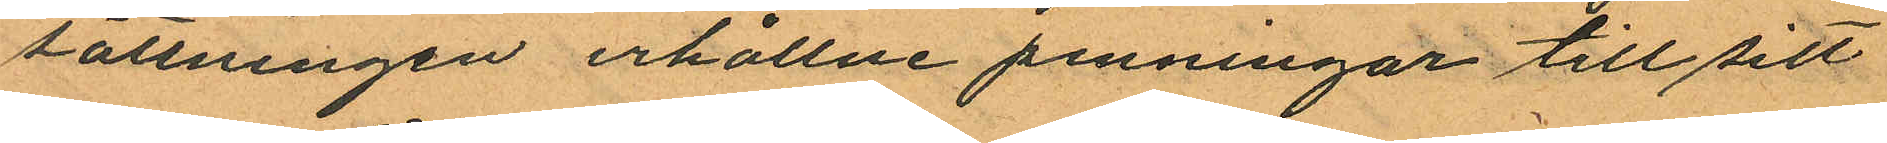sättningen erhållne penningar till sitt
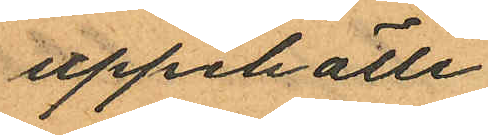uppehälle.
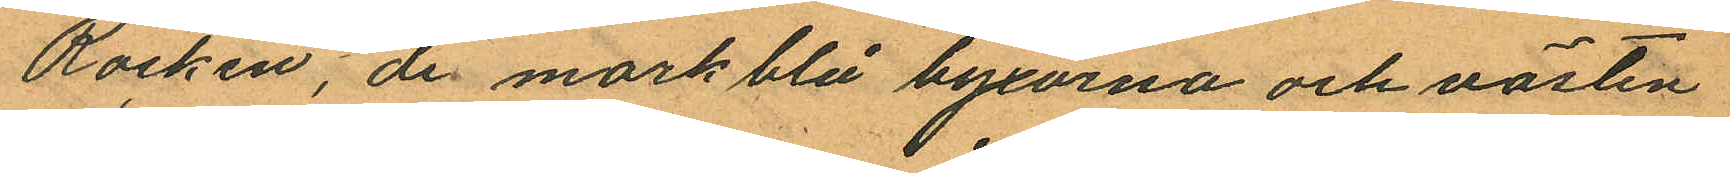Rocken, de morkblå byxorna och västen
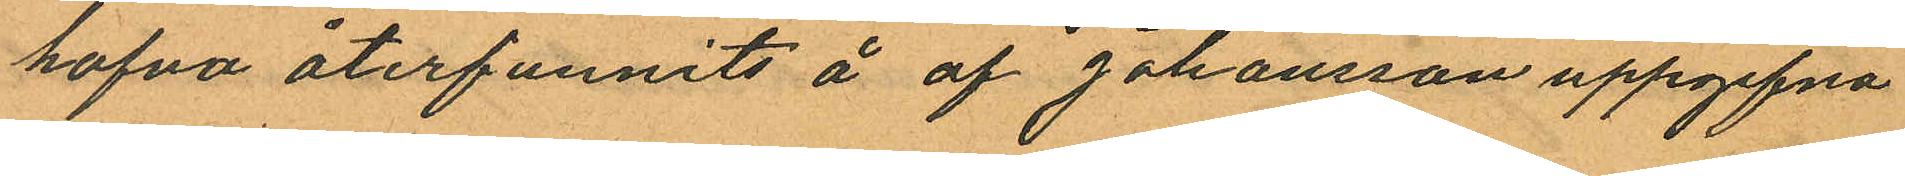hafva återfunnits å af Johansson uppgifna
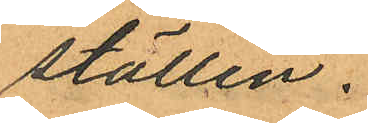ställen.
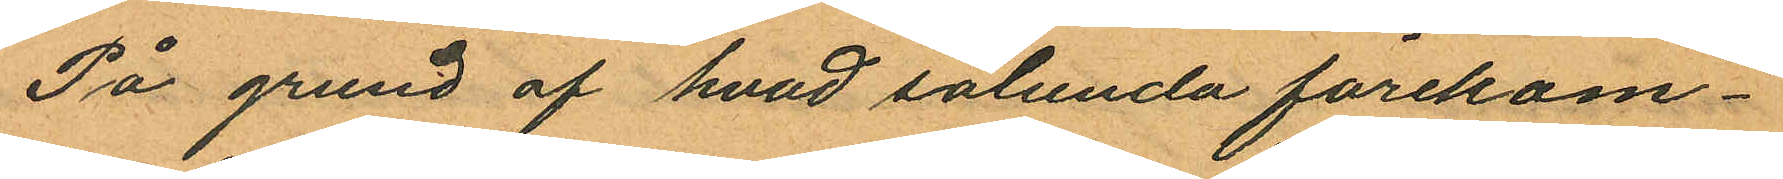På grund af hvad sålunda förekom¬
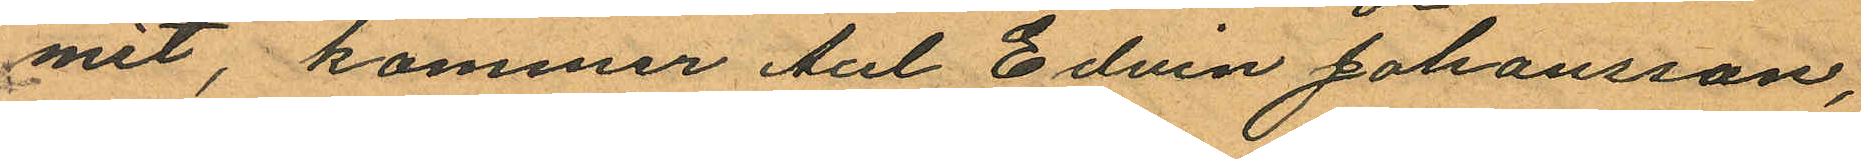mit, kommer Axl Edvin Johansson,
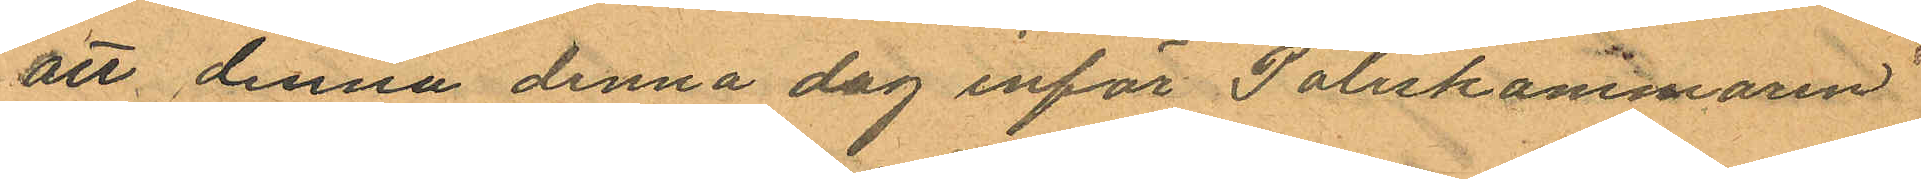att denna denna dag inför Poliskammaren
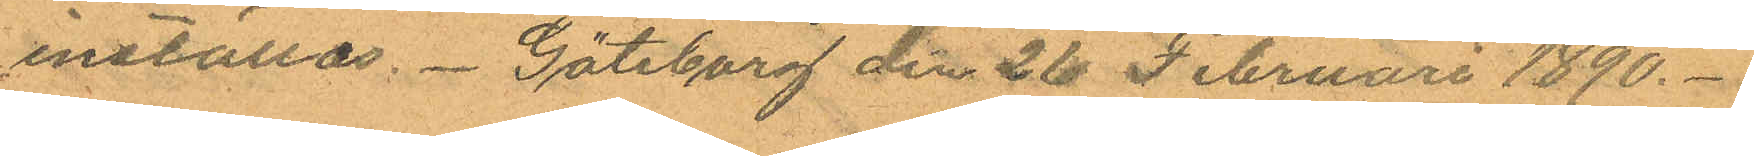inställas. Göteborg den 26 Februari 1890.
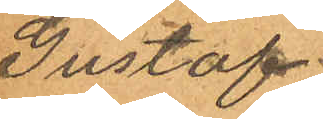Gustaf
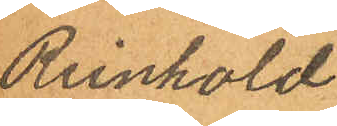Reinhold
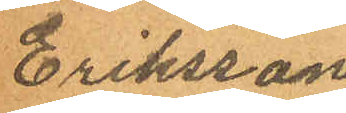Eriksson
